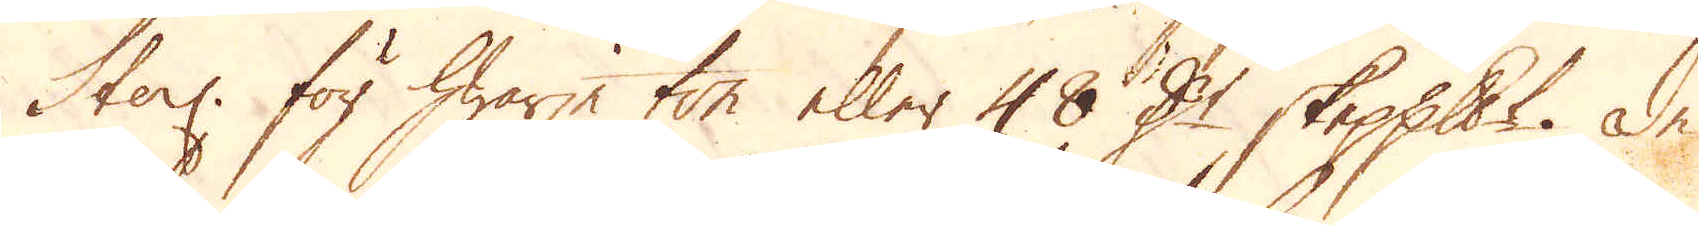Sterl. för hwarje ton eller 48 D:r skeppundet. De
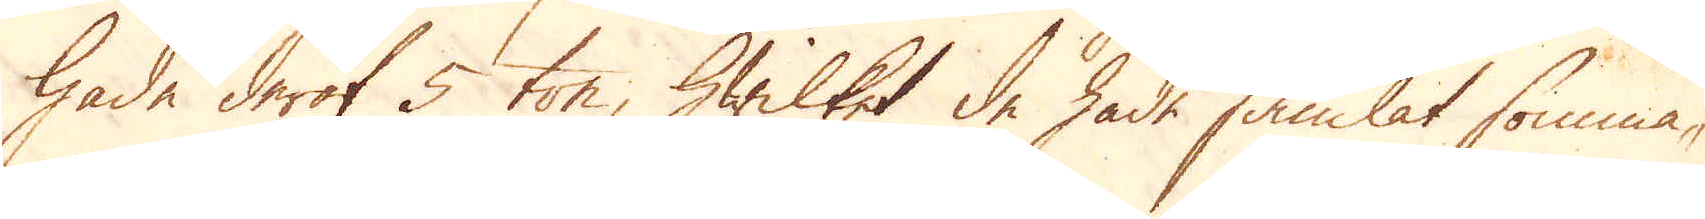hade deraf 5 ton, hwilket de hade samlat somma-
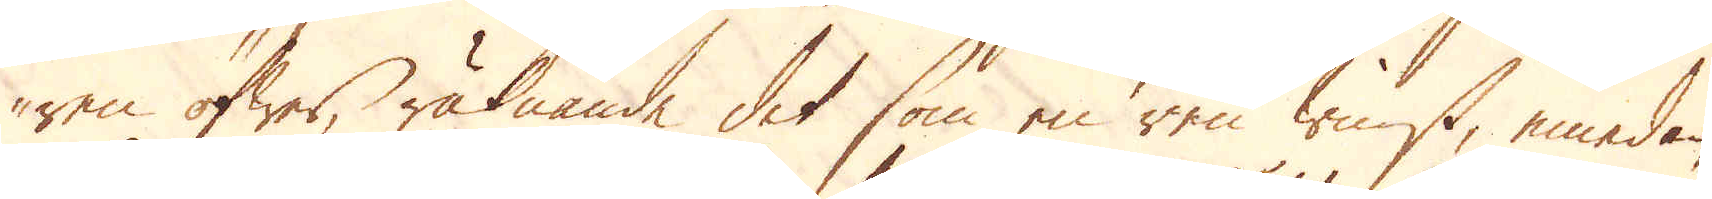ren öfwer, räknande det som en ren tinst, emedan
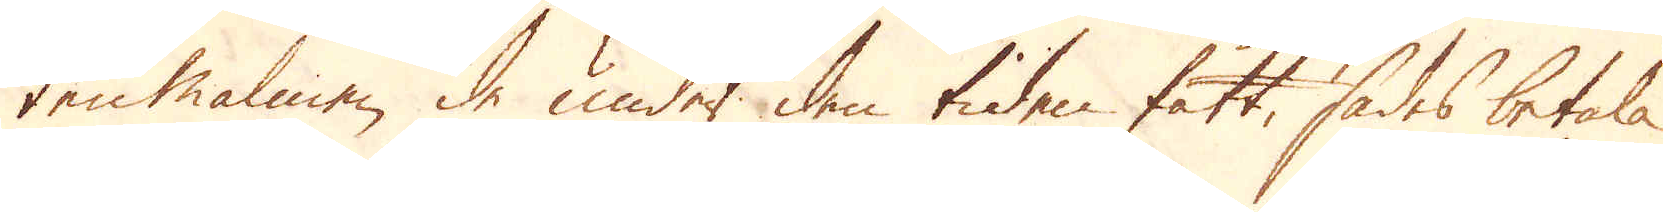ten malmen de under den tiden fått, sades betala
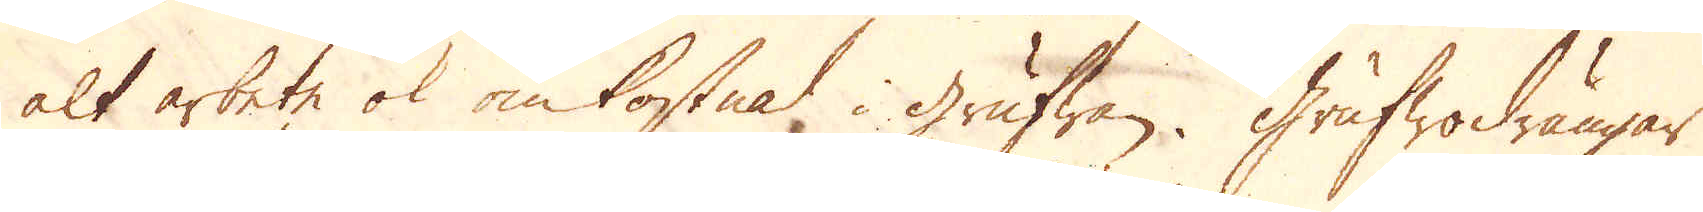alt arbete ok omkostnad i grufwan. Grufwodrängar
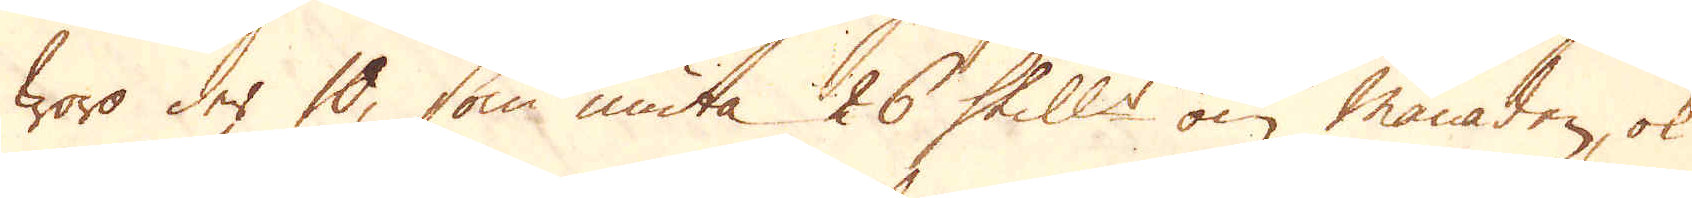woro der 10, som niuta 26 Skill:r om månaden, ok
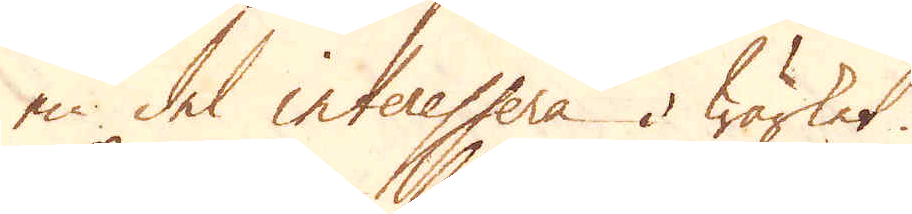en del interessera i Wärket.
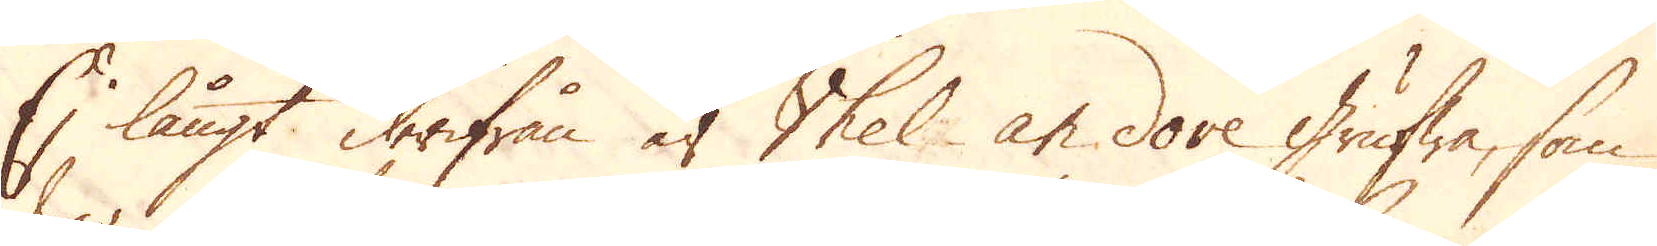Ej långt derifrån är Vhel an dove grufwa, som
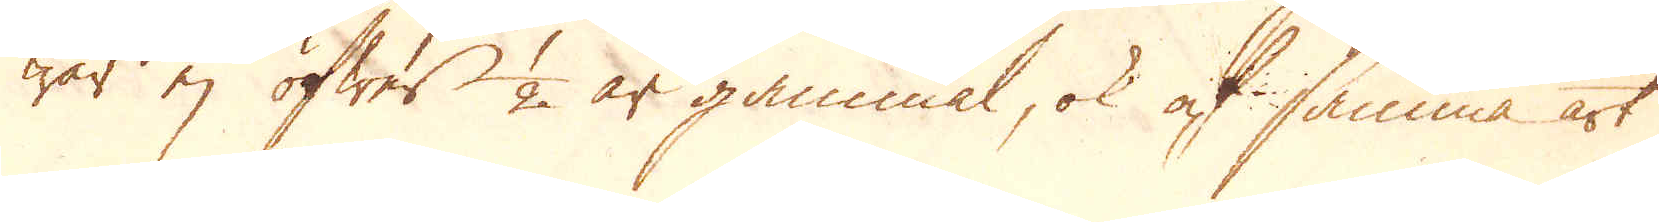war ej öfwer 1/2 år gammal, ok af samma art
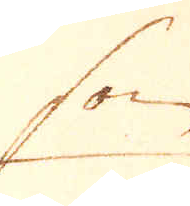som
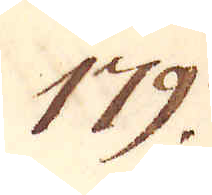179.
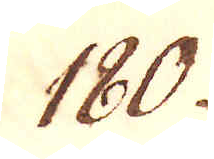180.
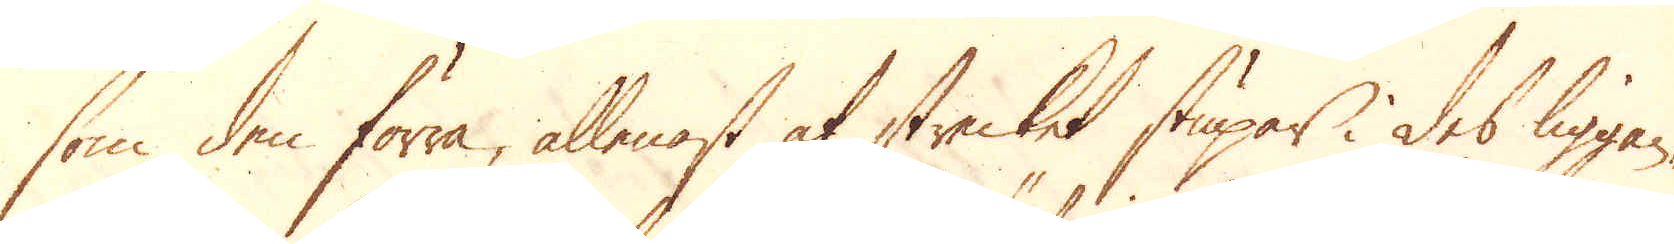som den förra, allenast at strecket stupar i des liggan-
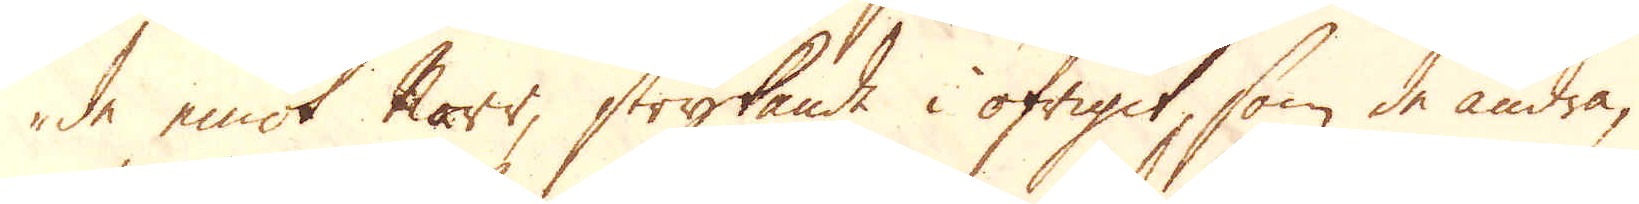de emot Norr, strykande i öfrigit, som de andra,
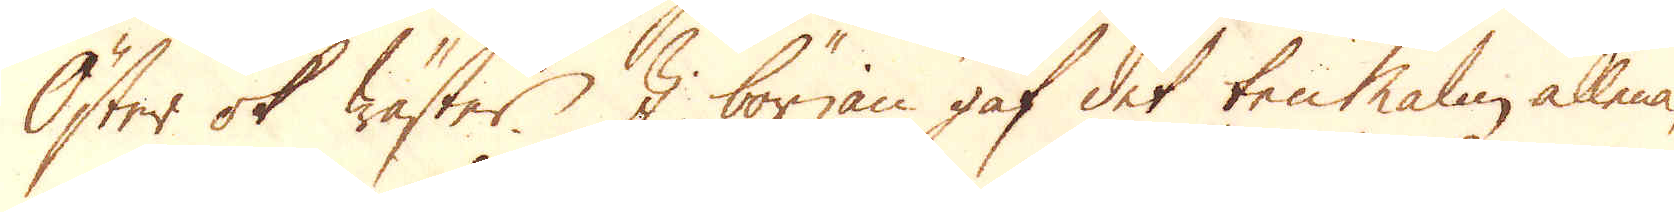Öster ok Wäster. I början gaf det ten Malm allena,
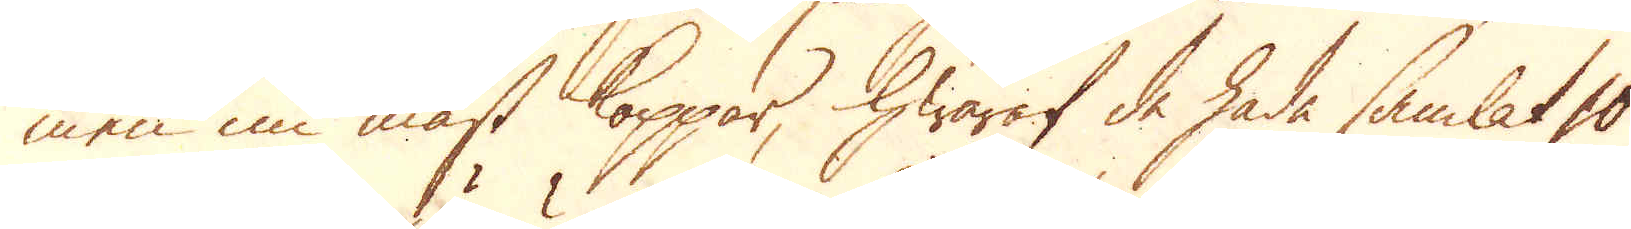men nu mäst koppar, hwaraf de hade samlat 10
